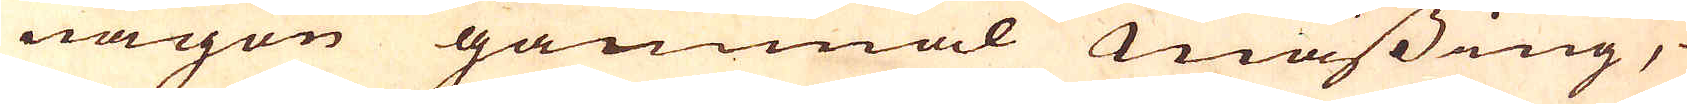någon gammal mässing,
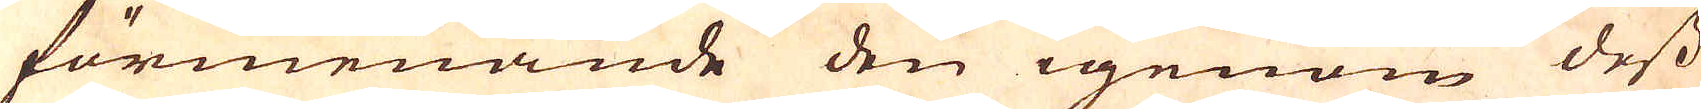förmenande den igenom dess
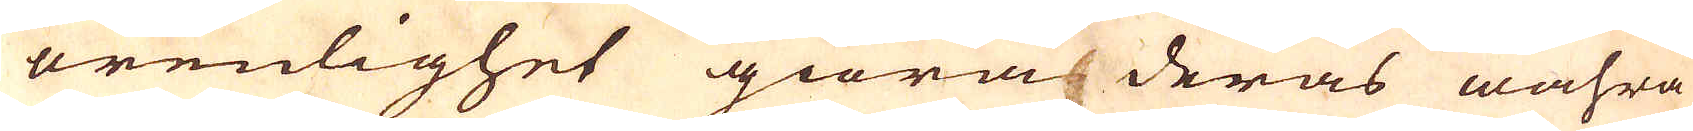orenlighet giöra deras wahra
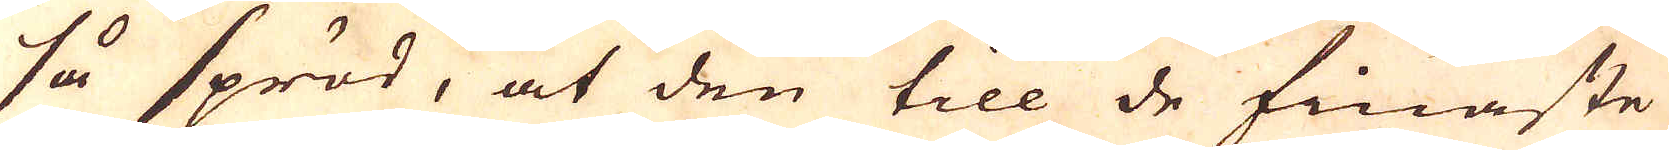så spröd, at den till de finaste
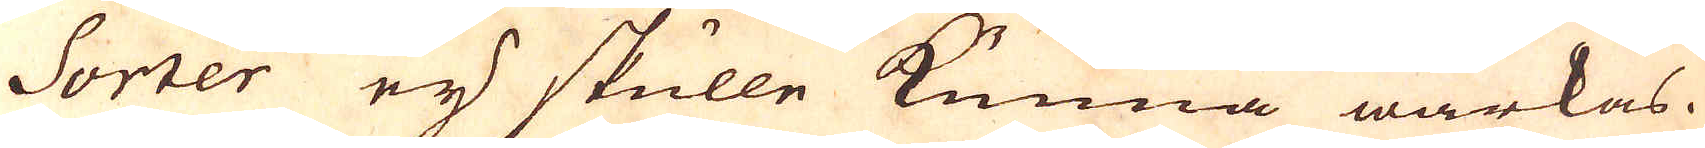Sorter eij skulle kunna wärkas.
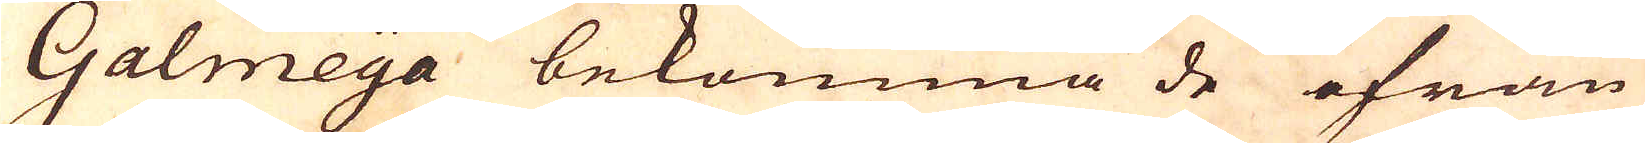Galmeya bekomma de ifrån
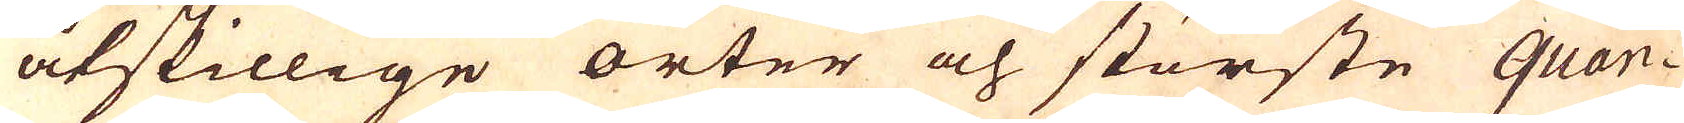åtskillige orter och störste quan-
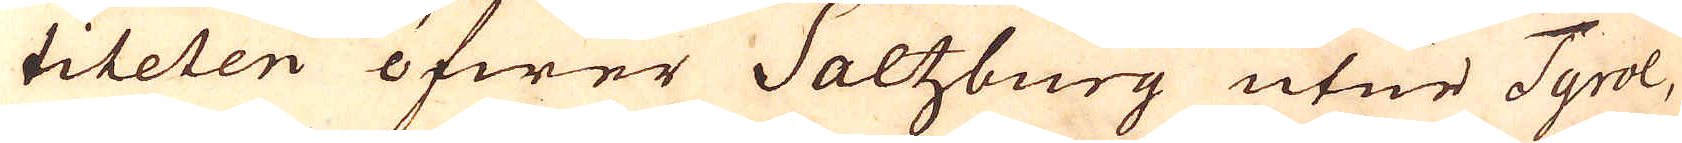titeten öfwer Saltzburg utur Tyrol,
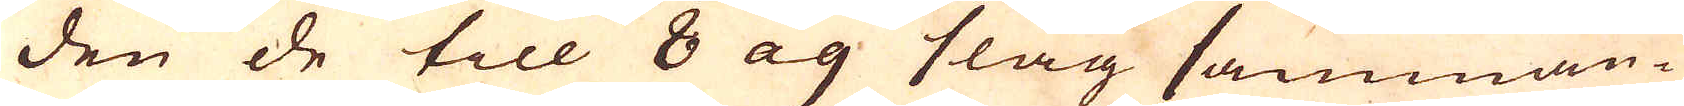den de till 8 ag slag samman-
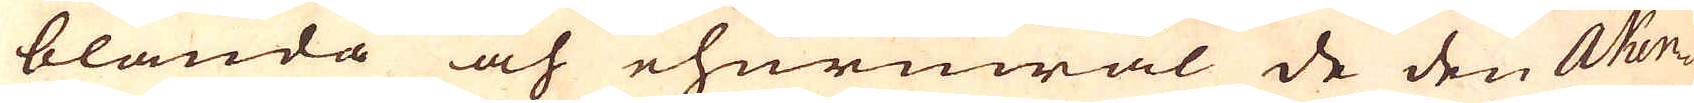blanda och ehuruwäl de den Aken-
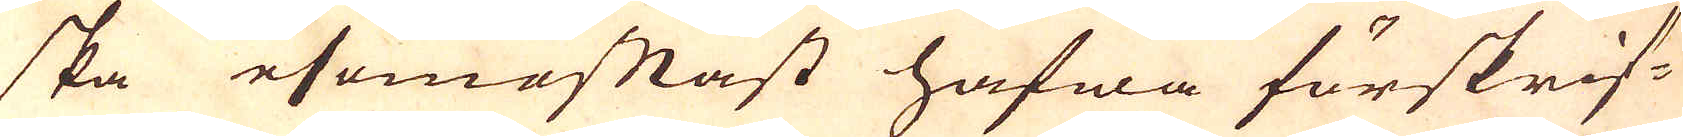ska esomoftast hafwa förskrif-
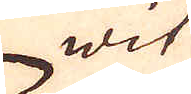wit
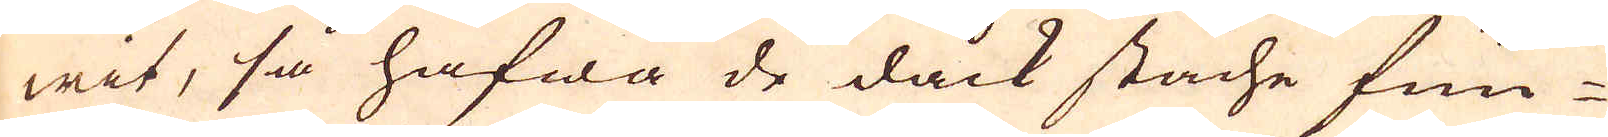wit, så hafwa de dåck stäche fun-
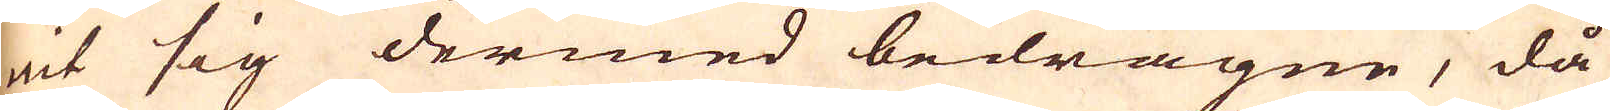nit sig dermed bedragne, då
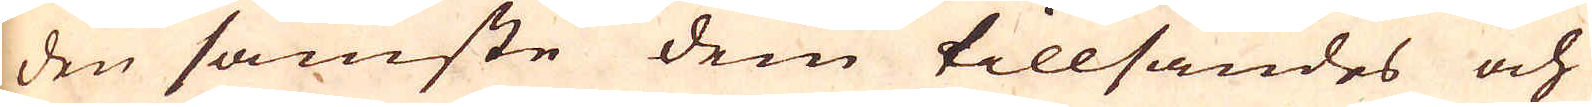den sämste dem tillsändes och
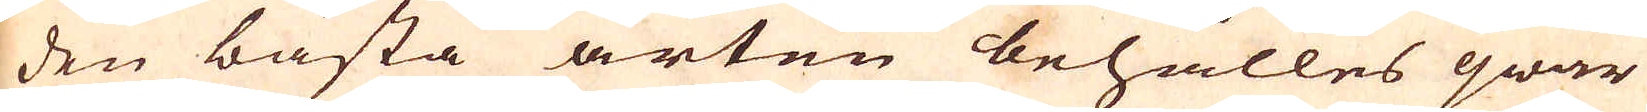den bästa arten behålles qwar
